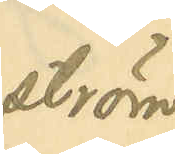ström
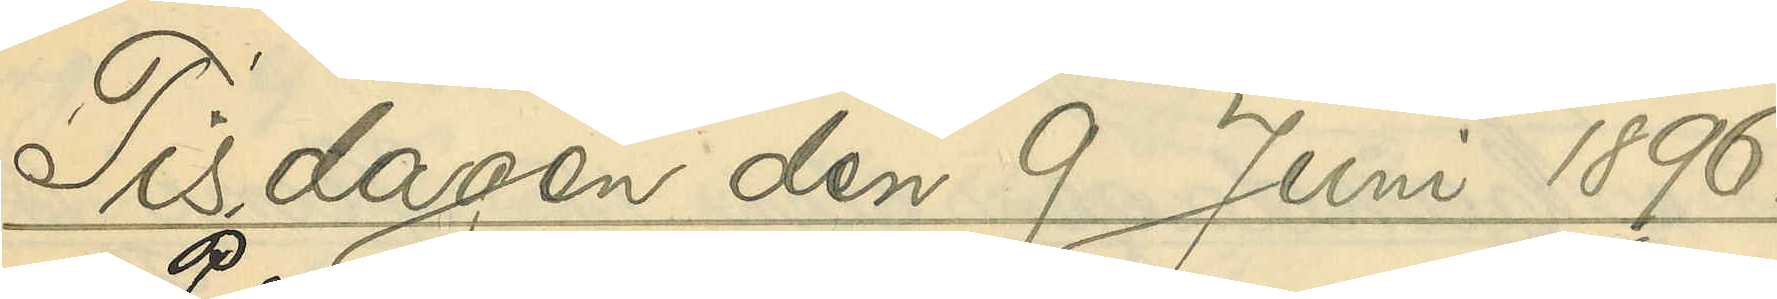Tisdagen den 9 Juni 1896.
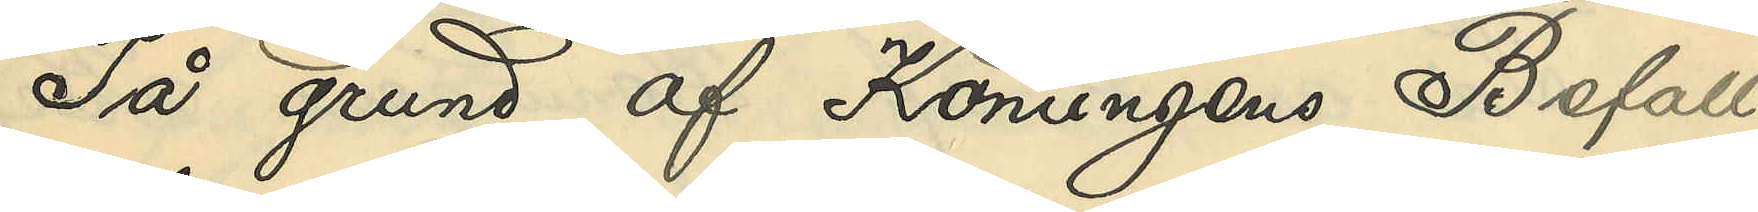På grund af Konungens Befall¬
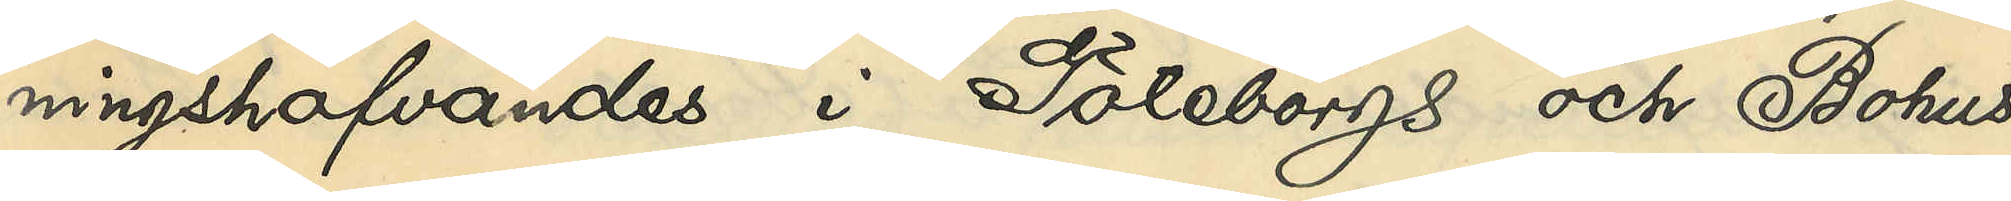ningshafvandes i Göteborgs och Bohus
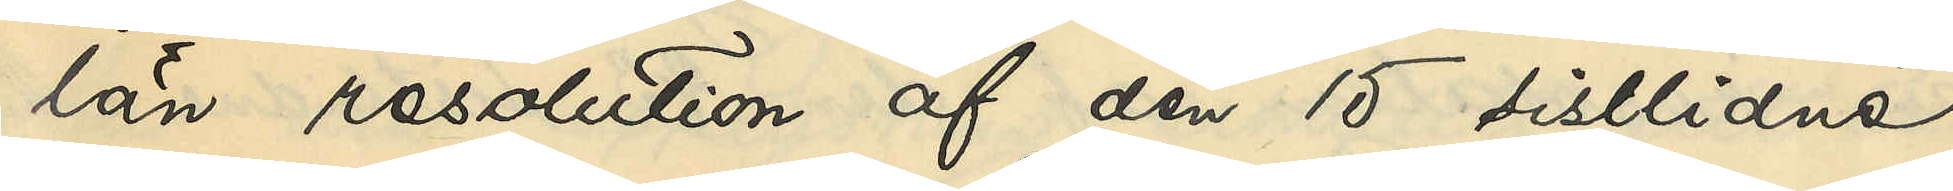län resolution af den 15 sistlidne
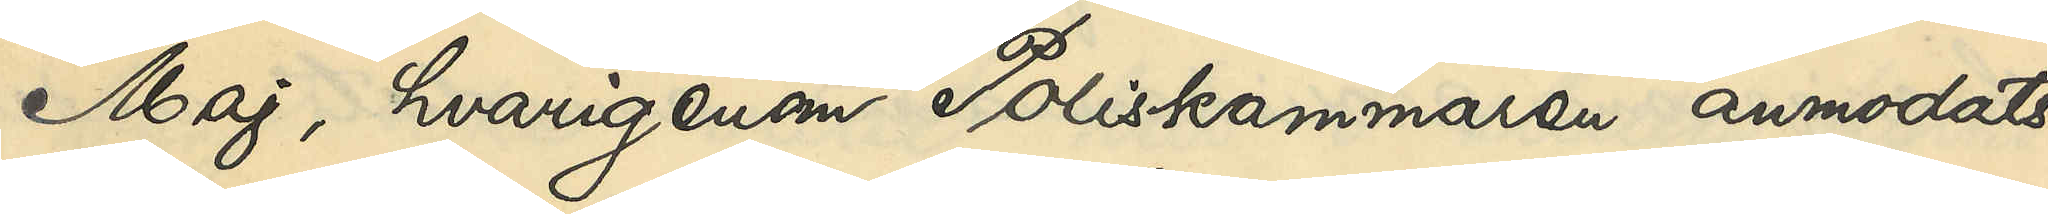Maj, hvarigenom Poliskammaren anmodats
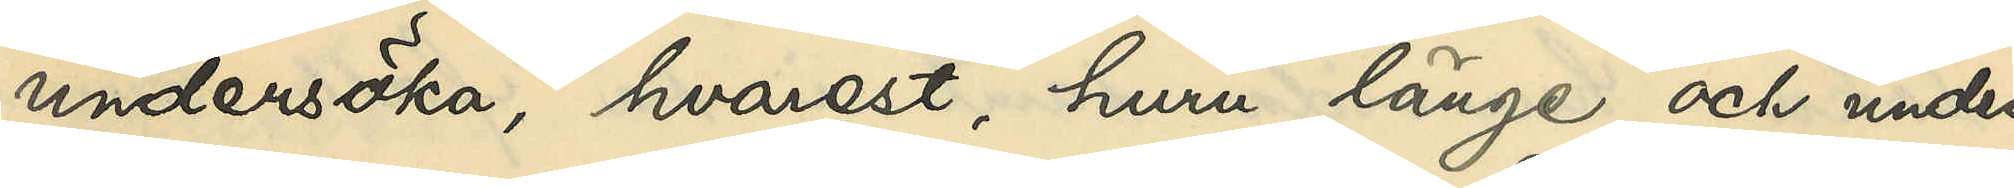undersöka, hvarest, huru länge och under
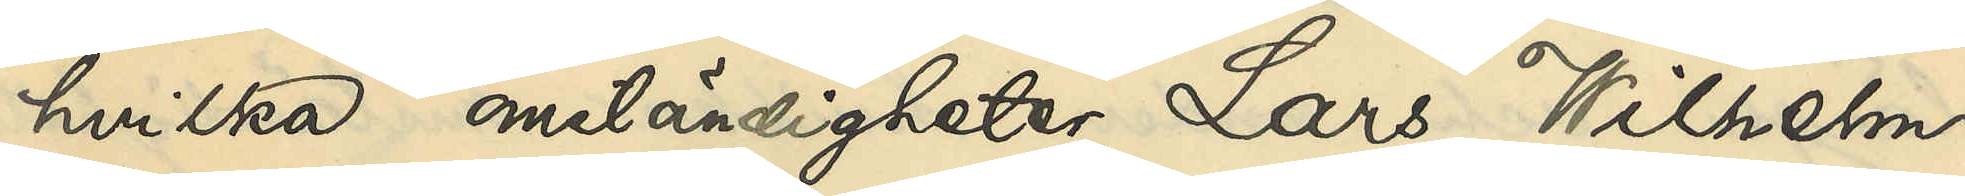hvilka omständigheter Lars Wilhelm
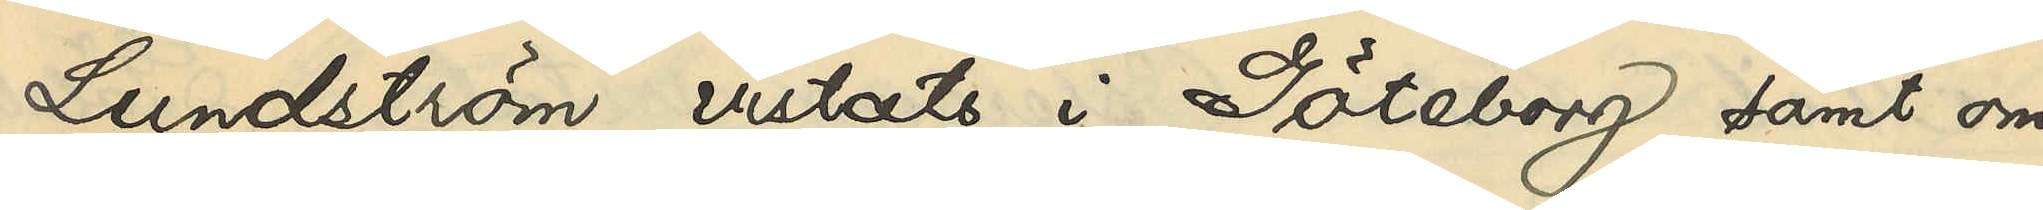Lundström vistats i Göteborg samt om
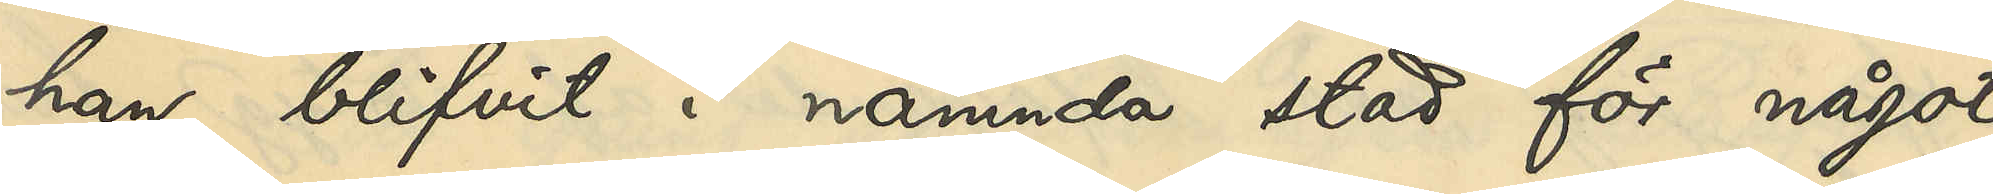han blifvit i nämnda stad för något
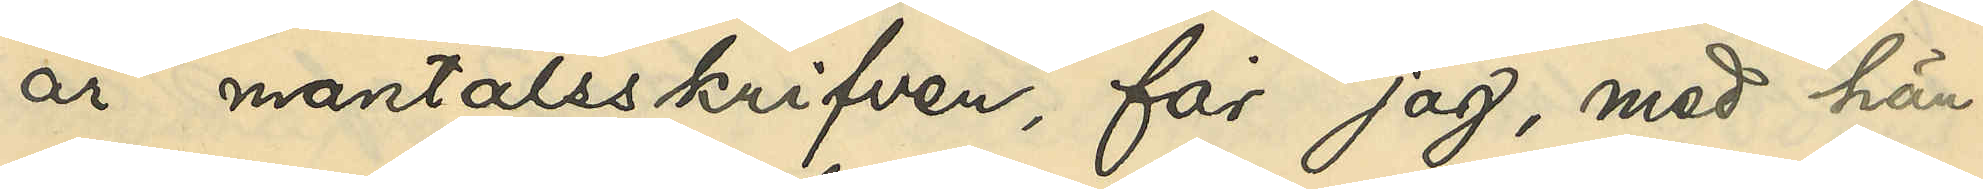år mantalsskrifven, får jag, men hän¬
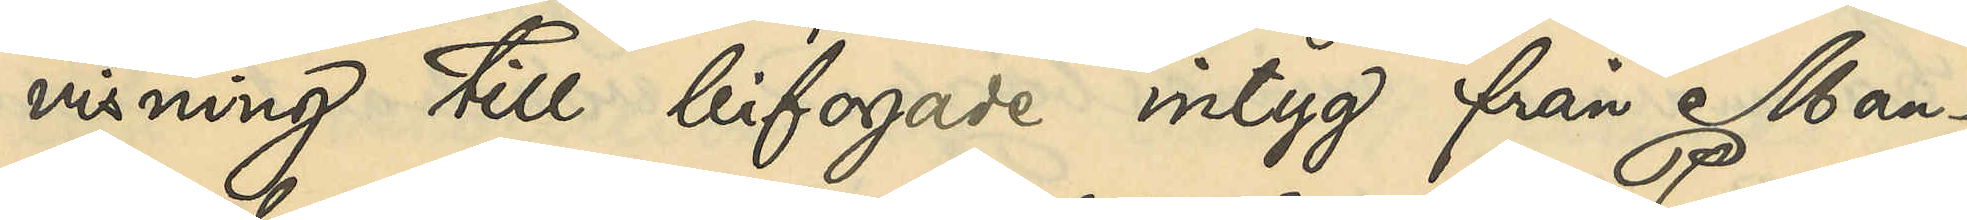visning till bifogade intyg från Man¬
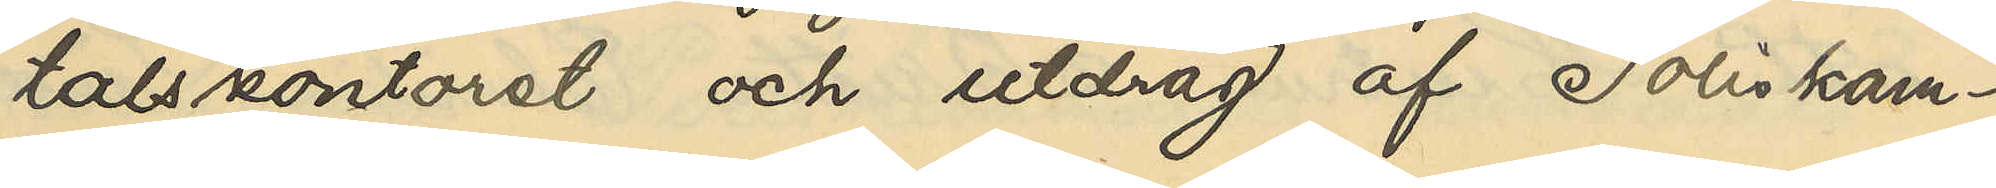talskontoret och utdrag af Poliskam¬
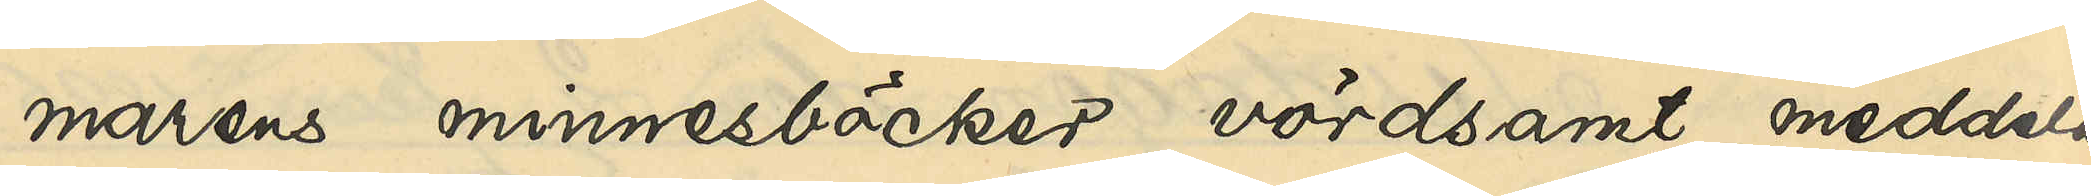marens minnesböcker vördsamt meddela
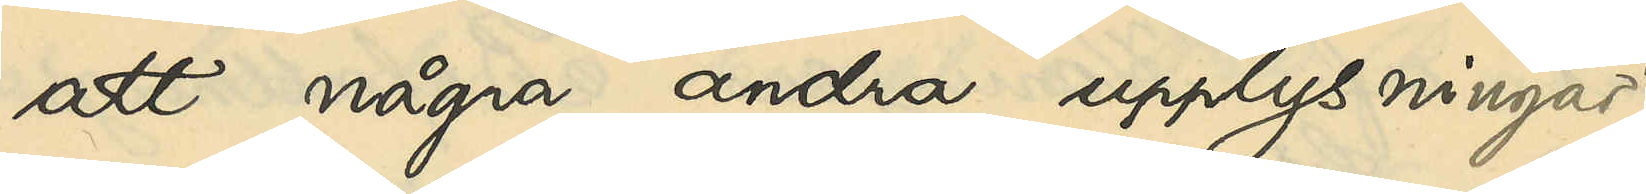att några andra upplysningar
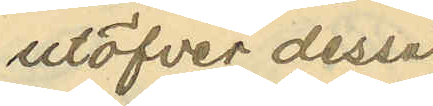utöfver dessa
